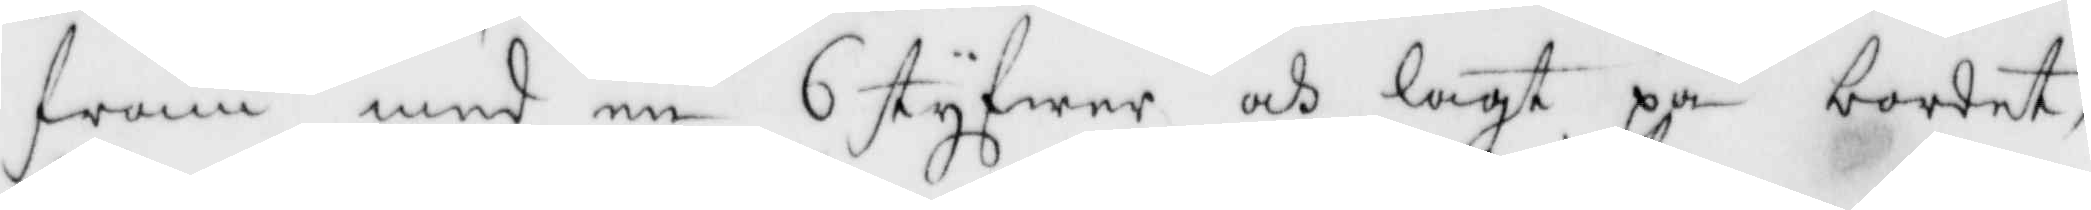fram med en 6 Styfwer och lagt på bordet,
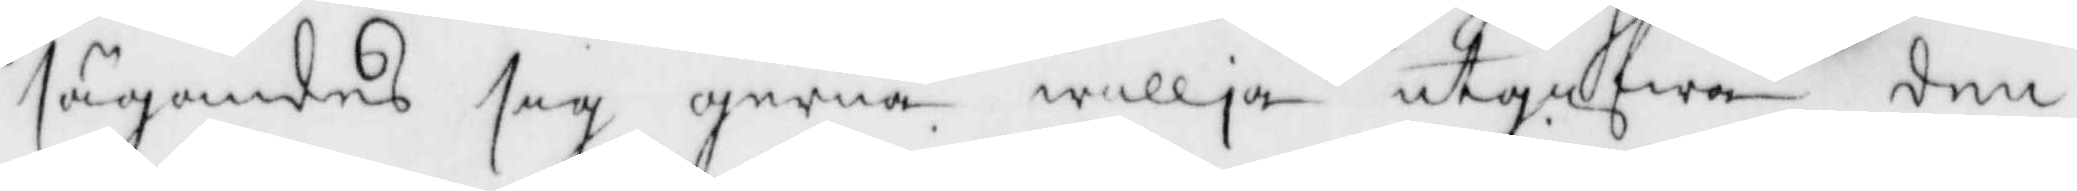sägandes sig gerna willia utgifwa den
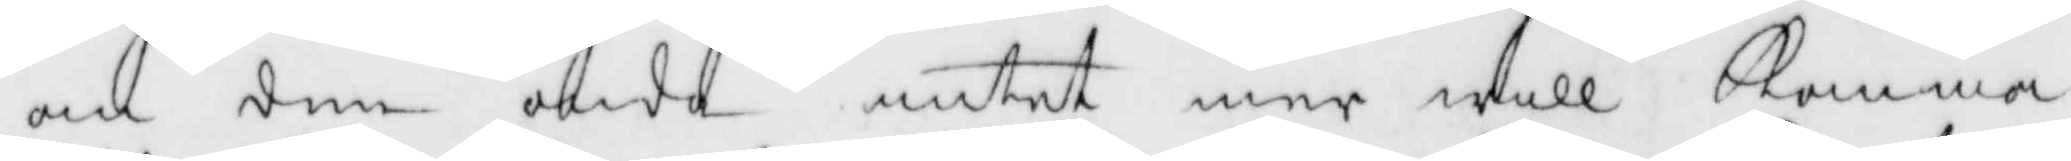om den onda intet mer will Komma
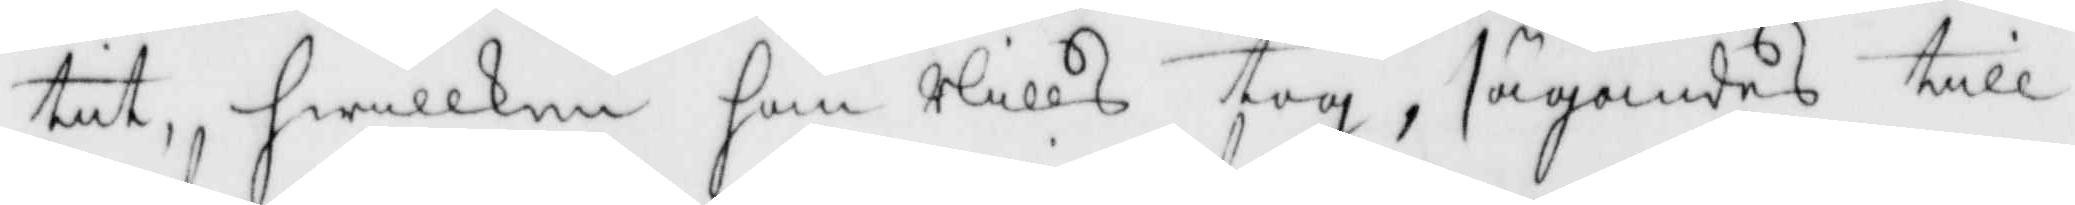tit, hwilken han Nills tog, sägandes till
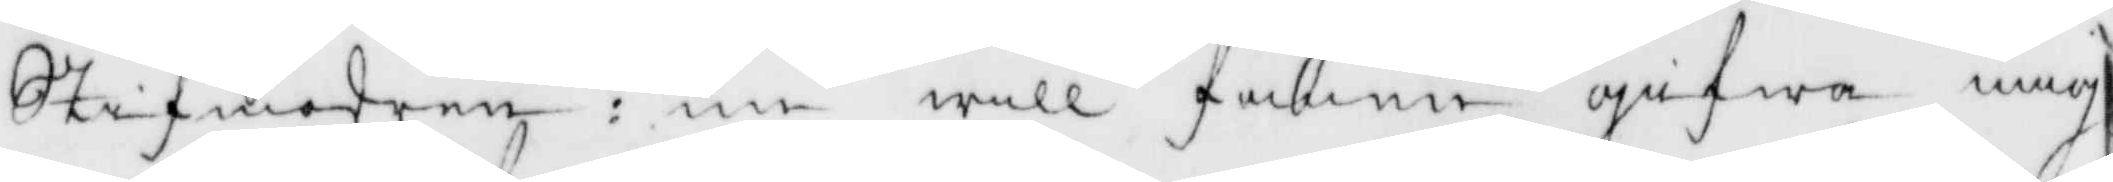Stifmodren: nu will fanen gifwa mig
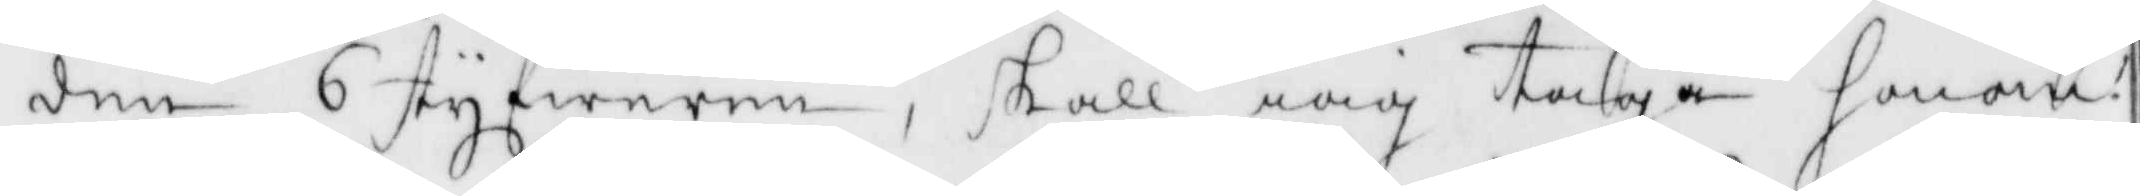den 6 styfweren, skall iag taga honom?
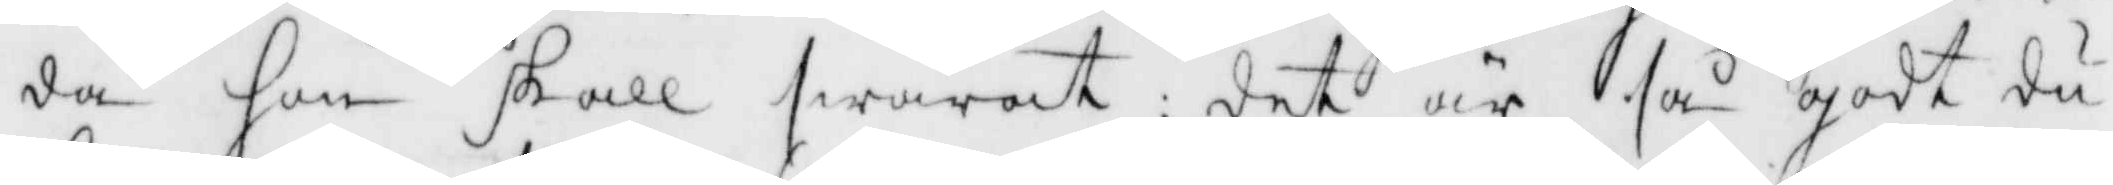da hon skall swarat det är så godt du
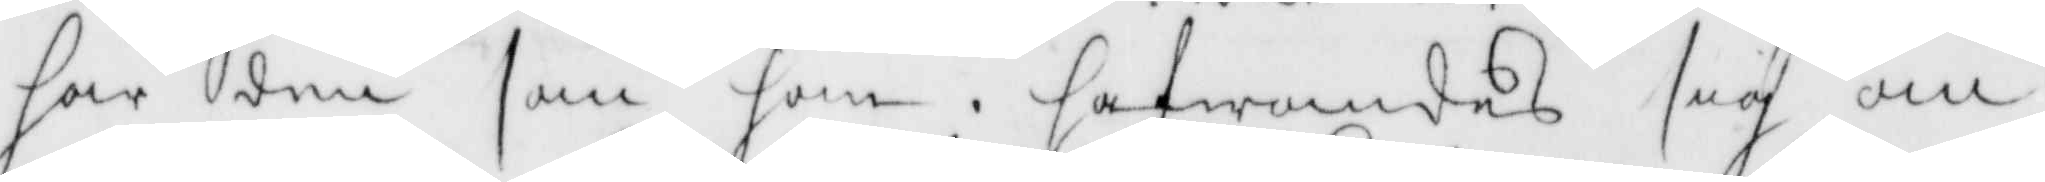har den som han. hafwandes sig om
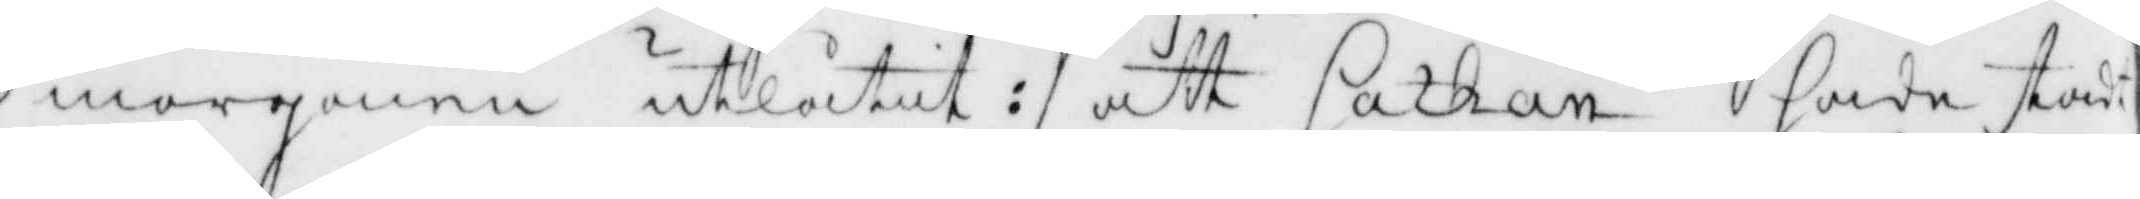morgonen utlåtit: att Sathan hade stadt
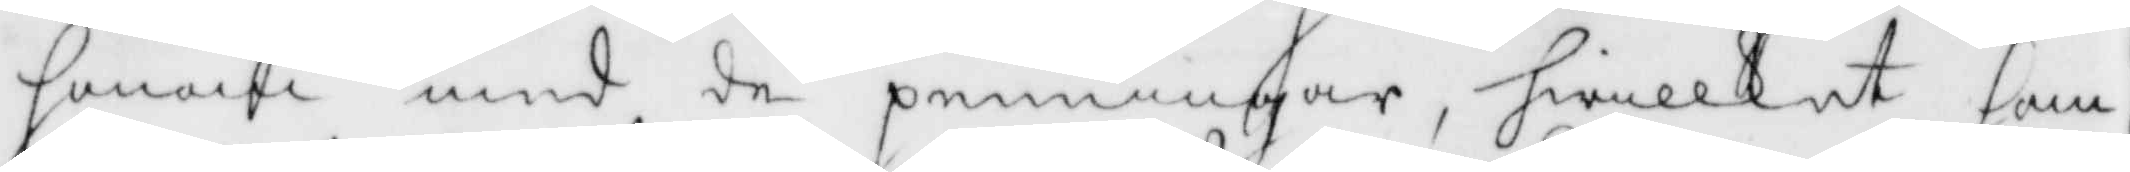honom med de penningar, hwilket han
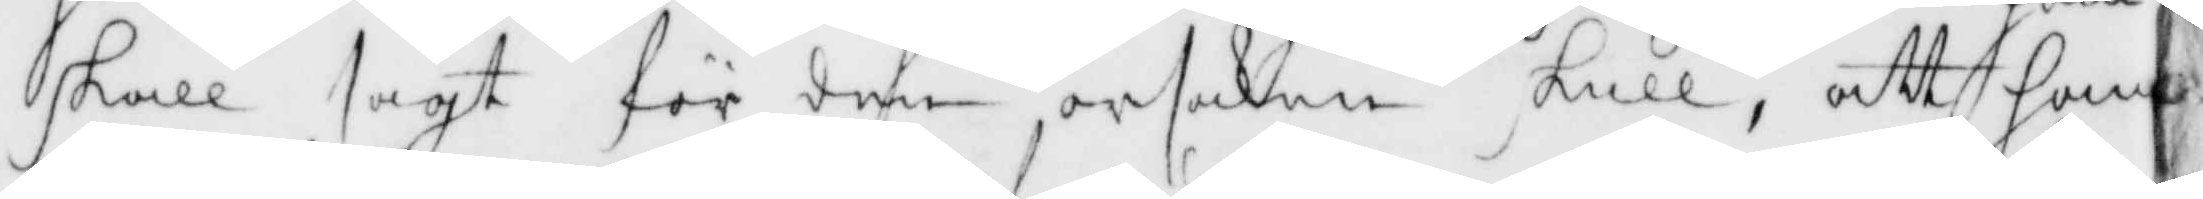skall sagt för den orsaken skull, att han
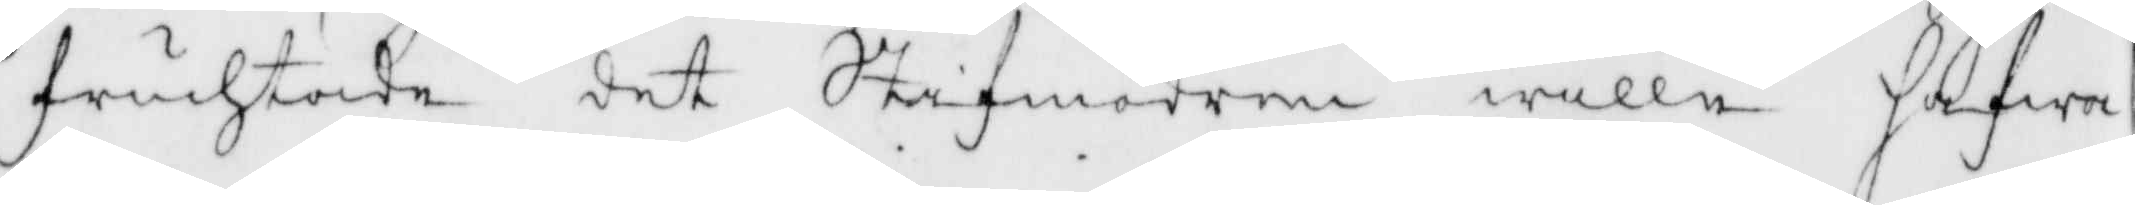fruchtade det Stifmodren wille hafwa
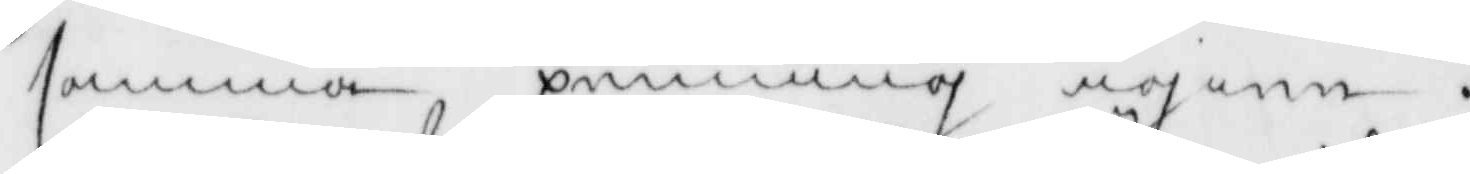samma penning igen.
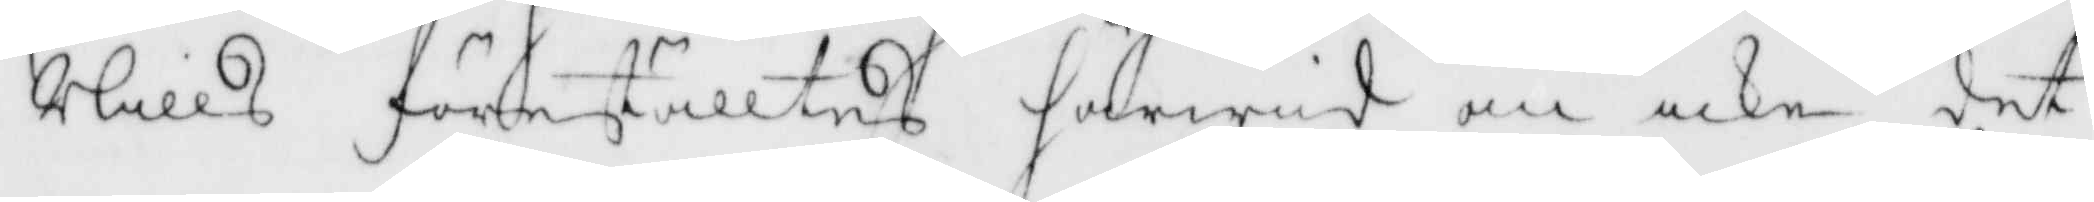Nills föreställtes härwid om icke det
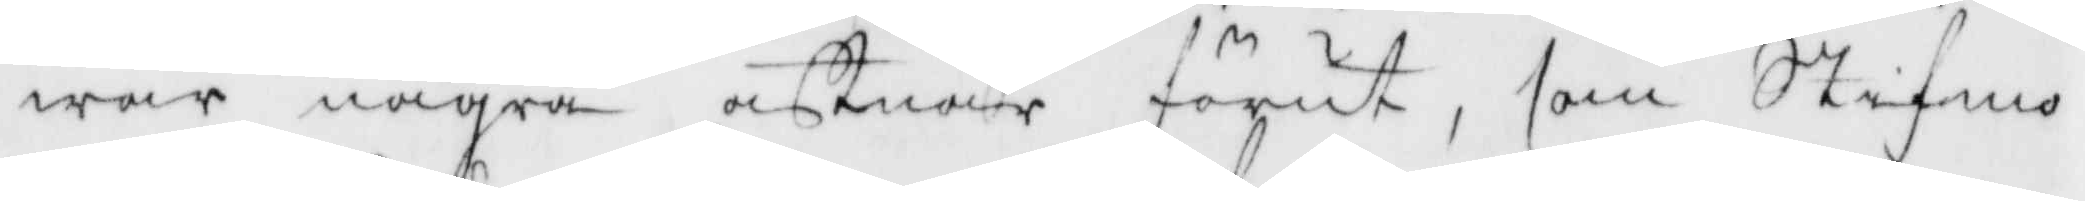war några aftnar förut, som Stifmo¬
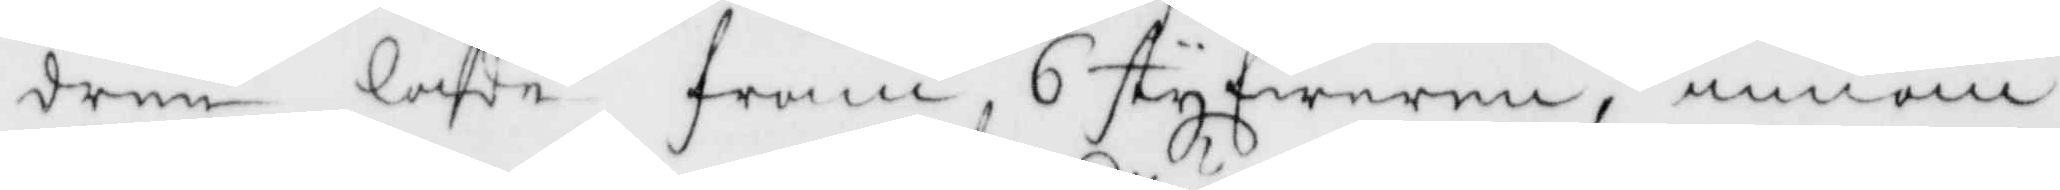dren lade fram 6 styfweren, innan
